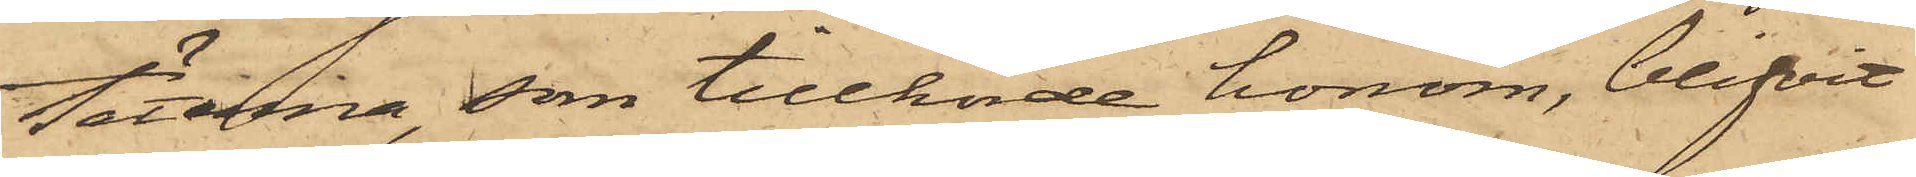täterna, som tillhörde honom, blifvit
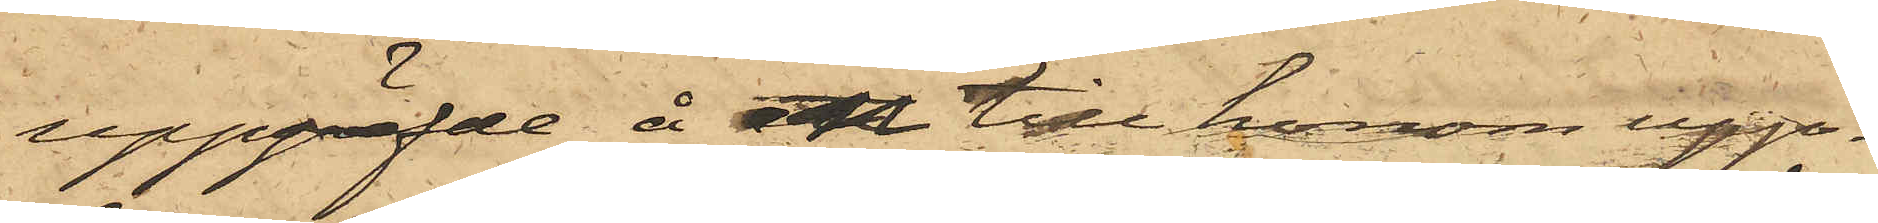uppgräfde å en till honom upp¬
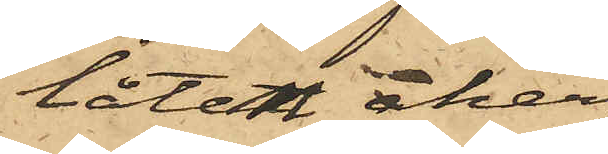låten åker,
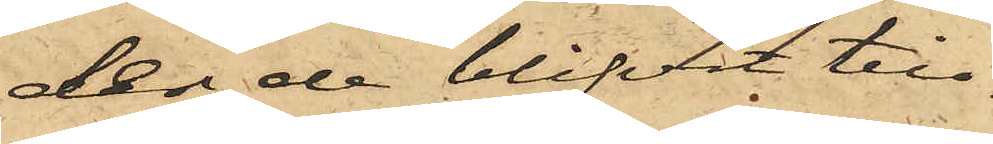der de blifvit till¬
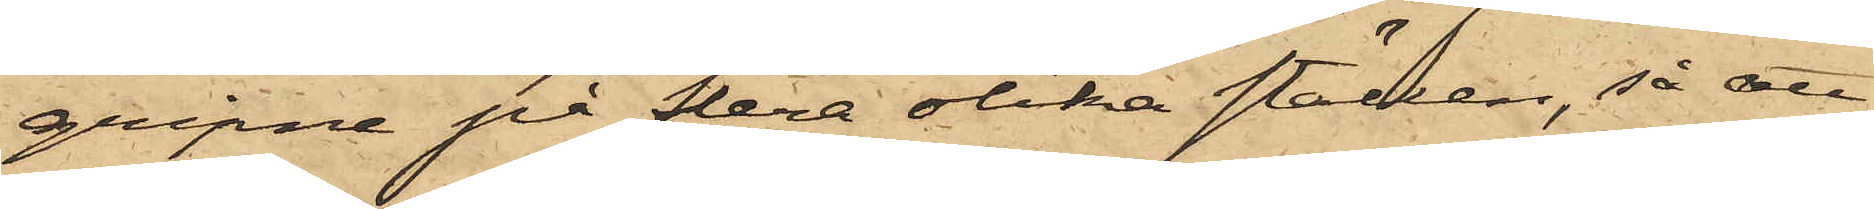gripne på flera olika ställen, så att
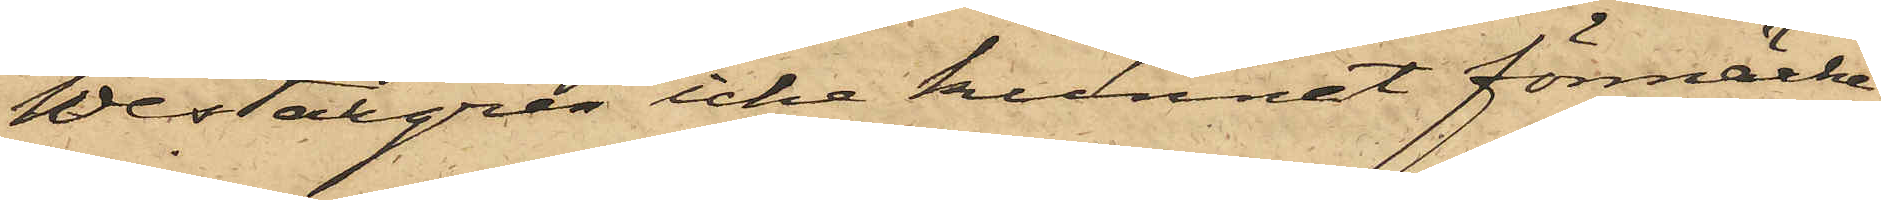Westergren icke kunnat förmärka
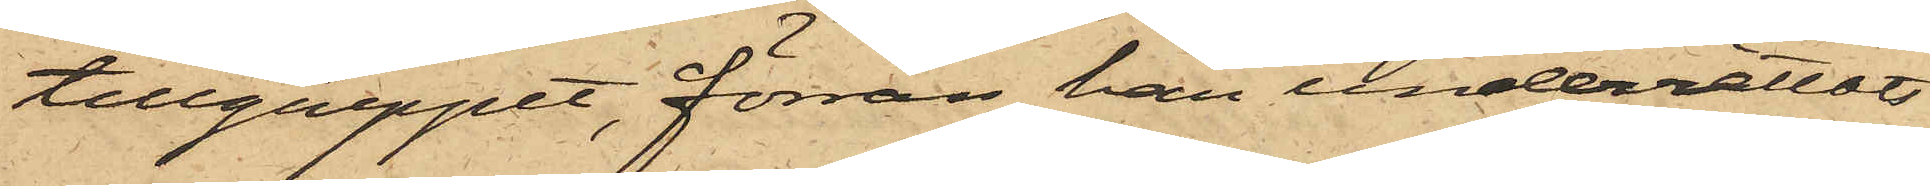tillgreppet, förrän han underrättats
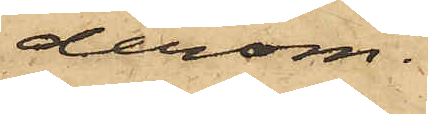derom.
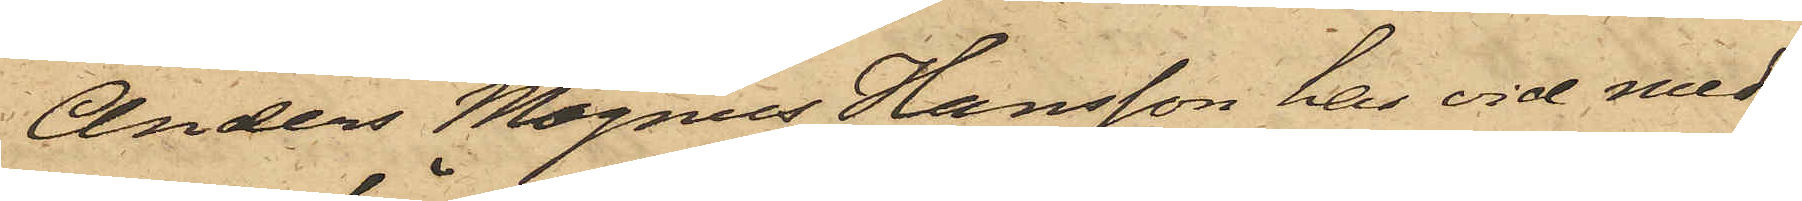Anders Magnus Hansson har vid med
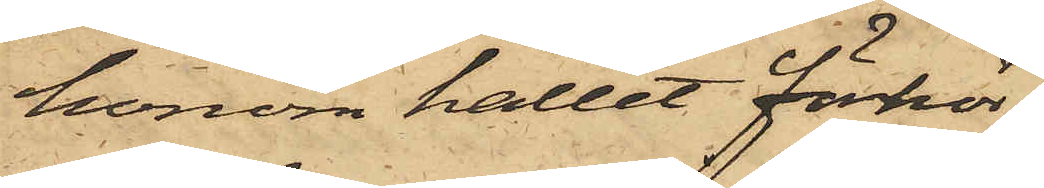honom hållet förhör
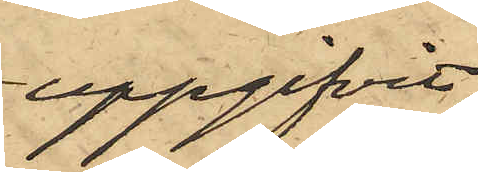uppgifvit,
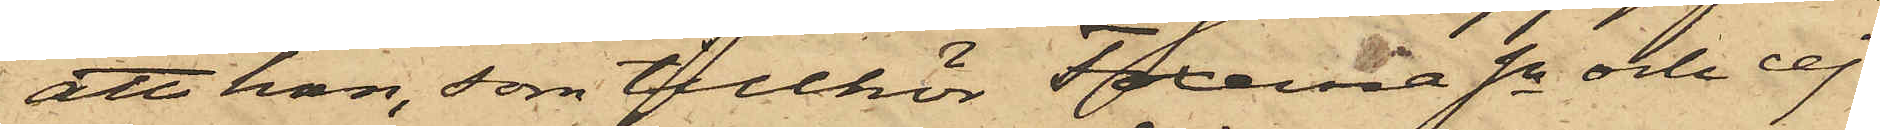att han, som tillhör Foxerna Sn och ej
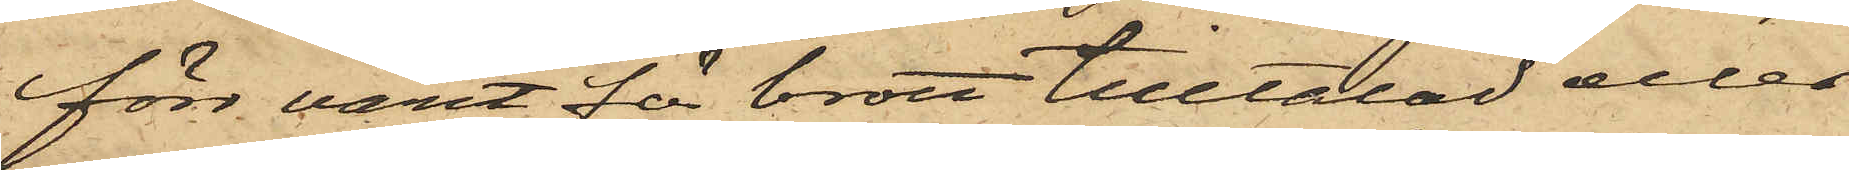förr varit för brott tilltalad eller
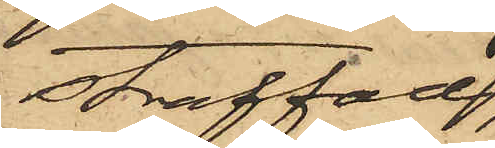straffad,
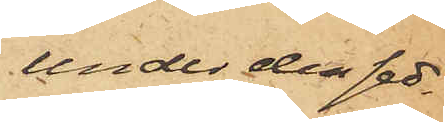under den sed¬
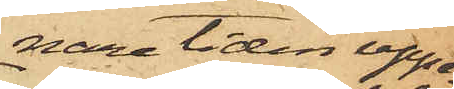nare tiden uppe¬
